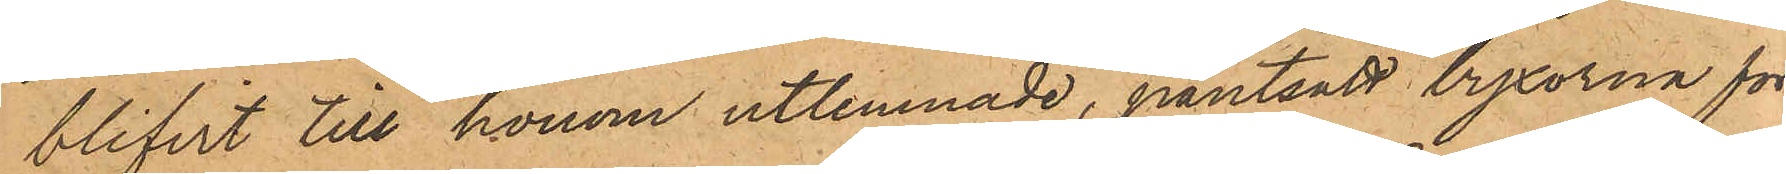blifvit till honom utlemnade, pantsatt byxorna för
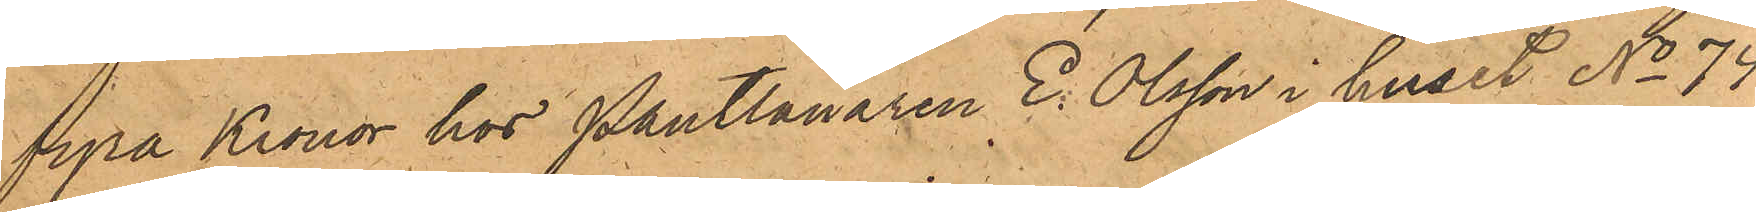fyra Kronor hos Pantlånaren E. Olsson i huset No 74
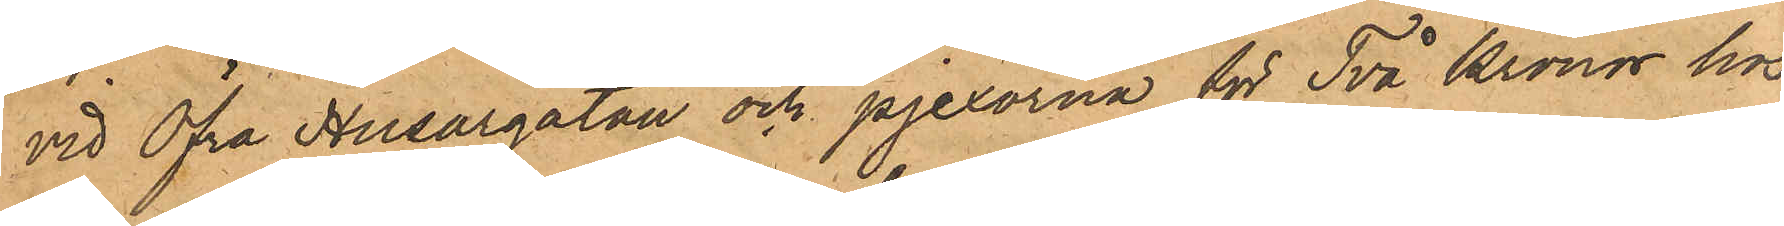vid Öfra Husargatan och pjexorna för Två Kronor hos
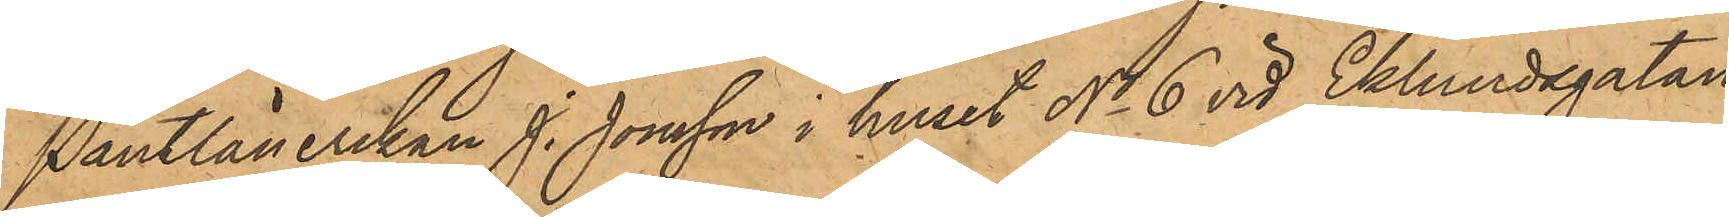Pantlånerskan J. Jonsson i huset No 6 vid Eklundsgatan,
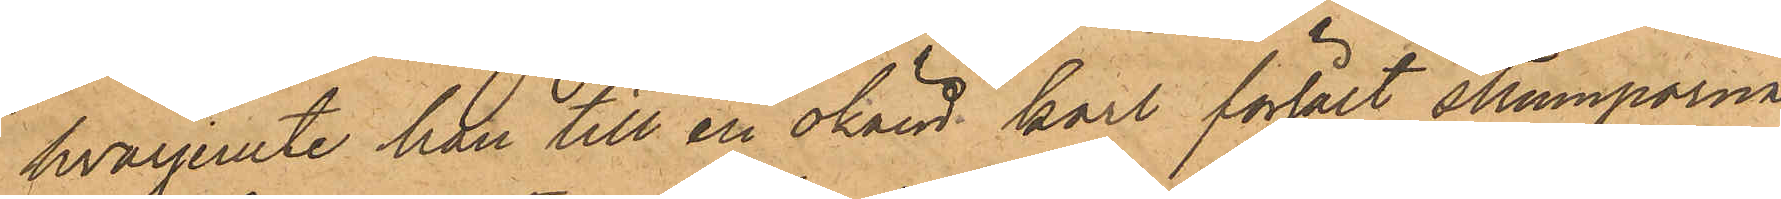hvarjemte han till en okänd karl försålt strumporna
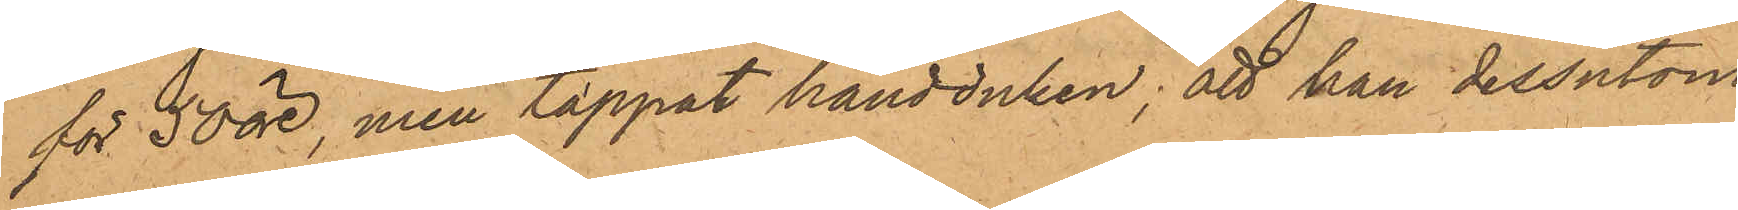för 50 öre, men tappat handduken; att han dessutom
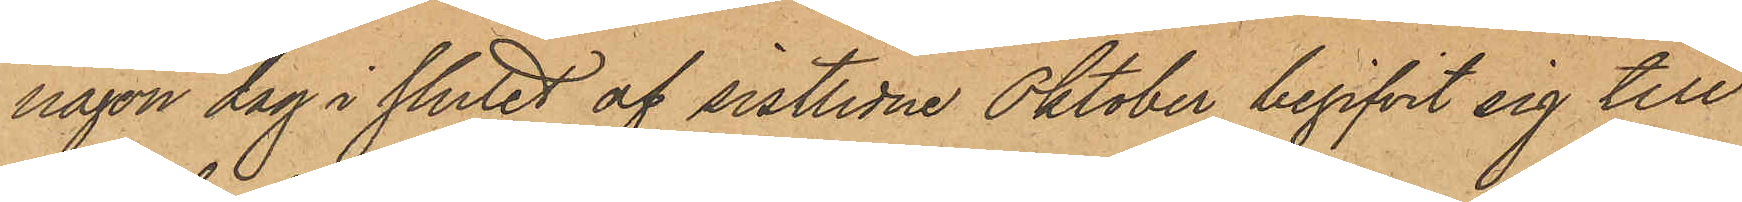någon dag i slutet af sistlidne Oktober begifvit sig till
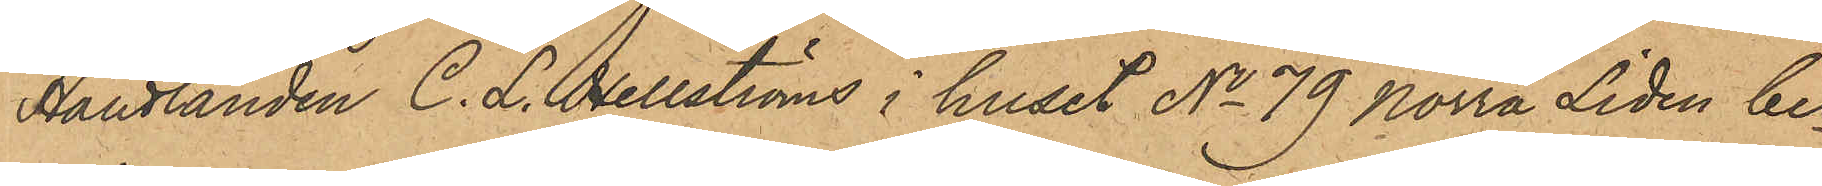Handlanden C. L. Hellströms i huset No 79 Norra Liden be¬
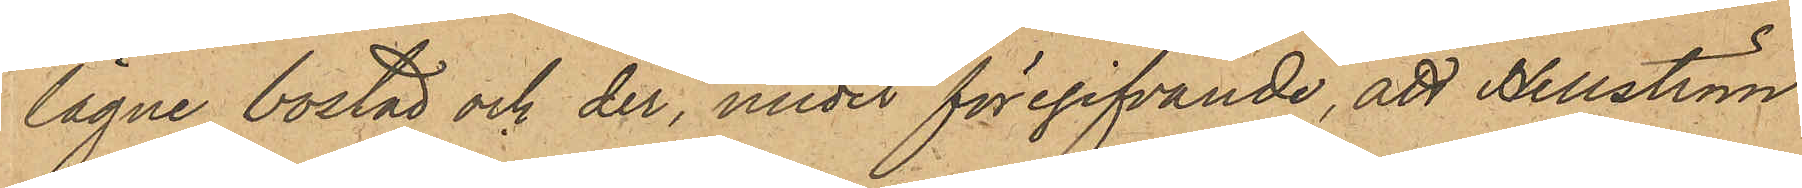lägne bostad och der, under föregifvande, att Hellström
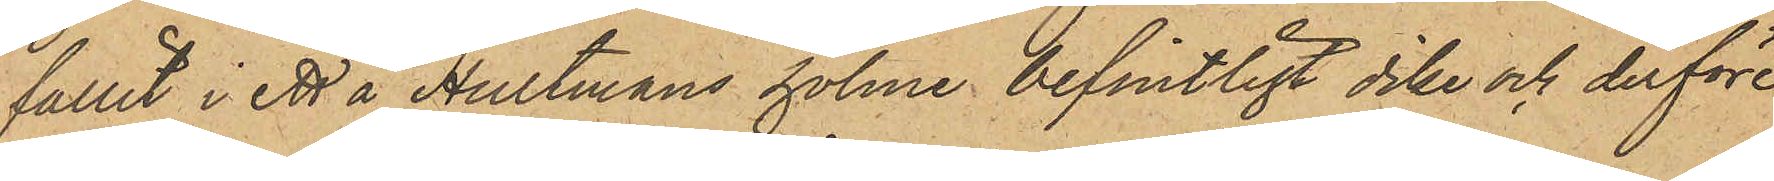fallit i ett å Hultmans holme befintligt dike och derföre
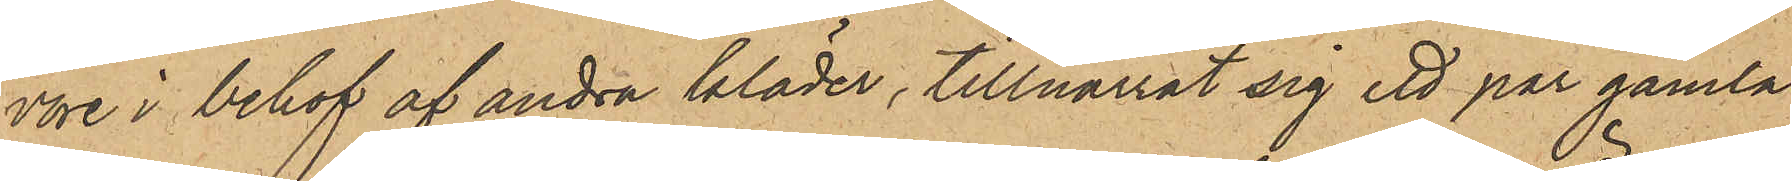vore i behof af andra kläder, tillnarrat sig ett par gamla
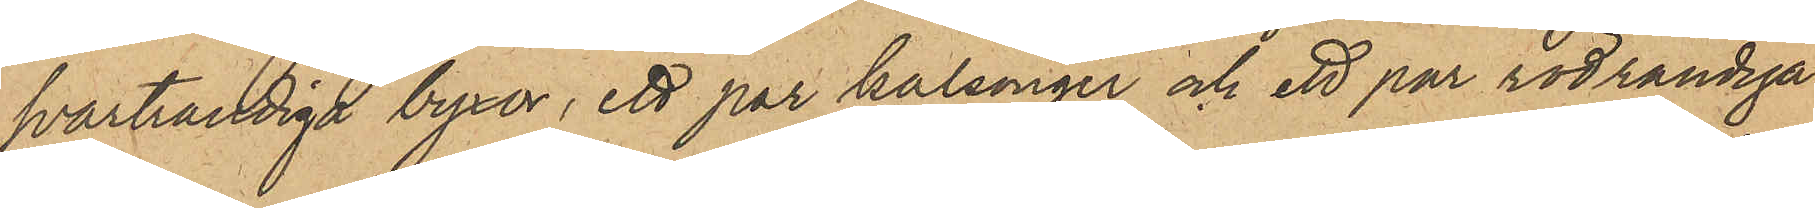svartrandiga byxor, ett par kalsonger och ett par rödrandiga
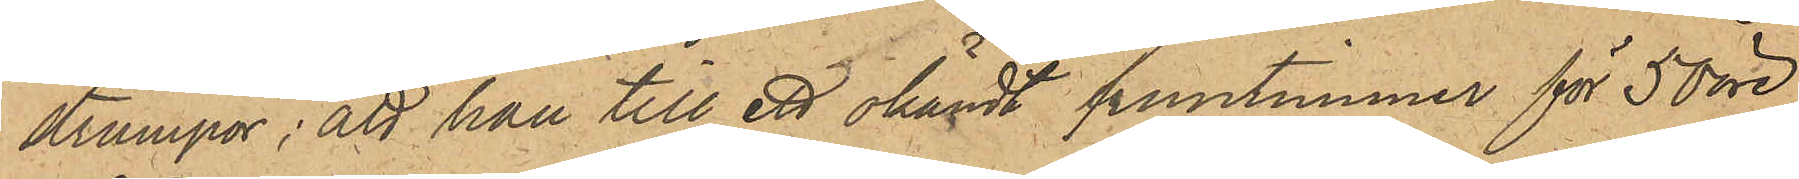strumpor; att han till ett okändt fruntimmer för 50 öre
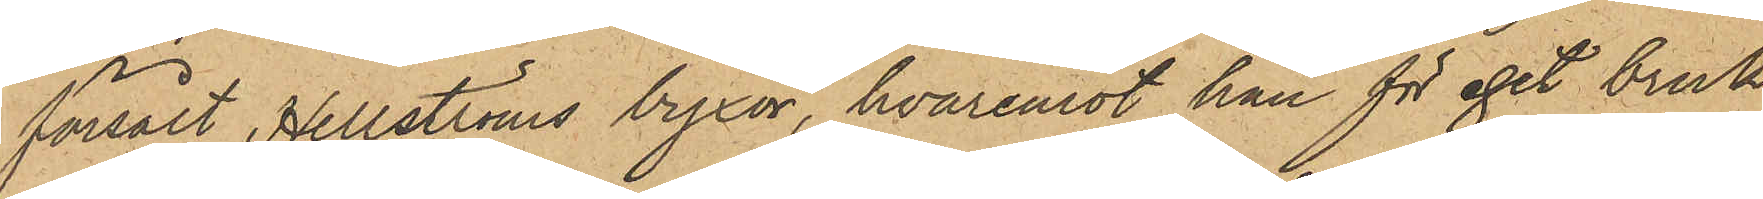försålt Hellströms byxor, hvaremot han för eget bruk
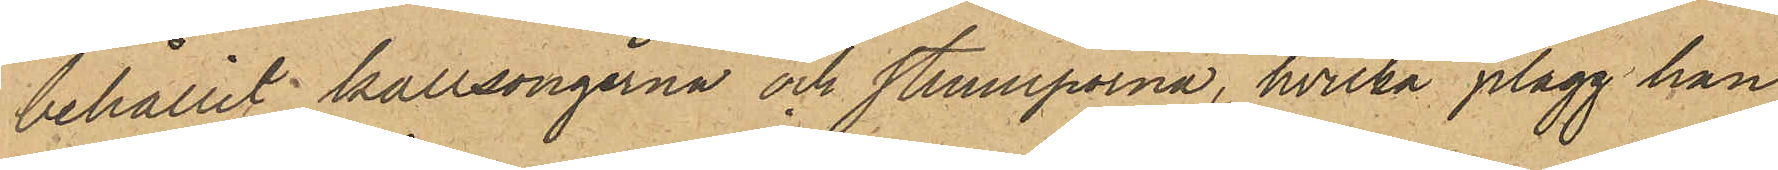behållit kallsongerna och strumporna, hvilka plagg han
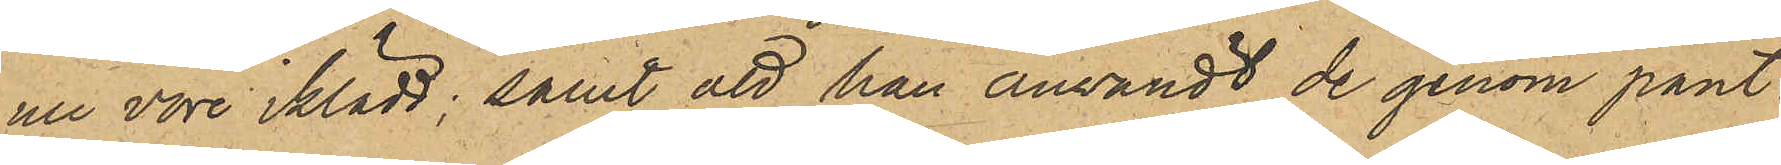nu vore iklädd; samt att han användt de genom pant¬
